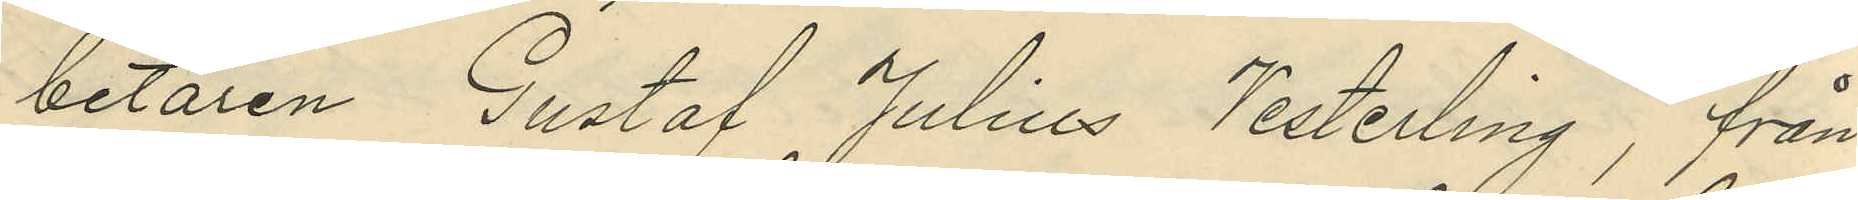betaren Gustaf Julius Vesterling, från
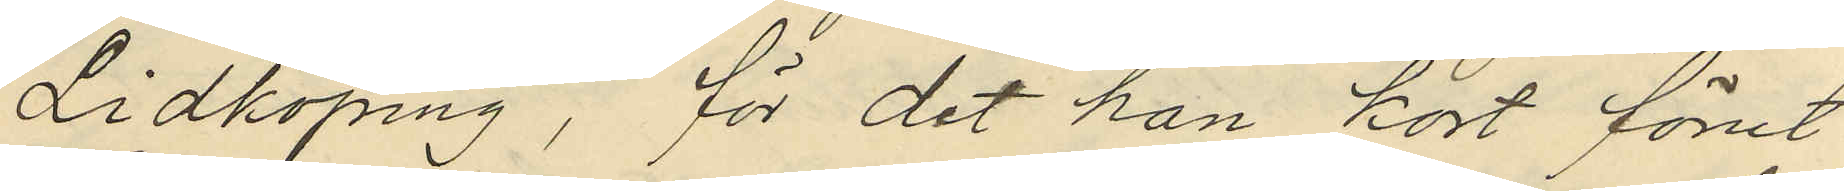Lidköping, för det han kort förut
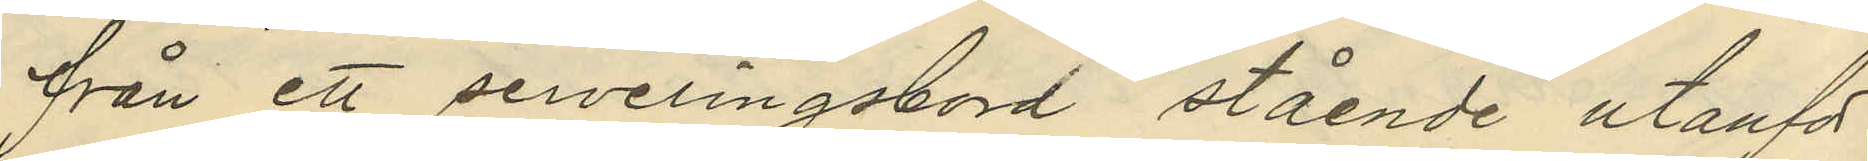från ett serveringsbord stående utanför
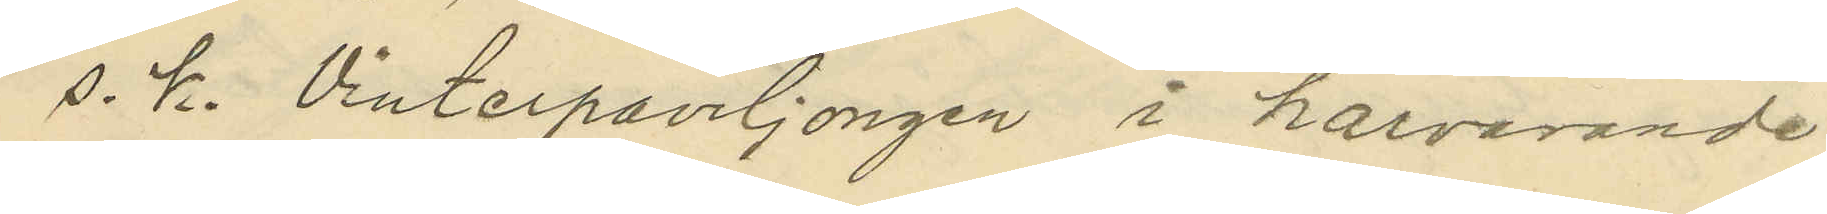s. k. Vinterpaviljongen i härvarande
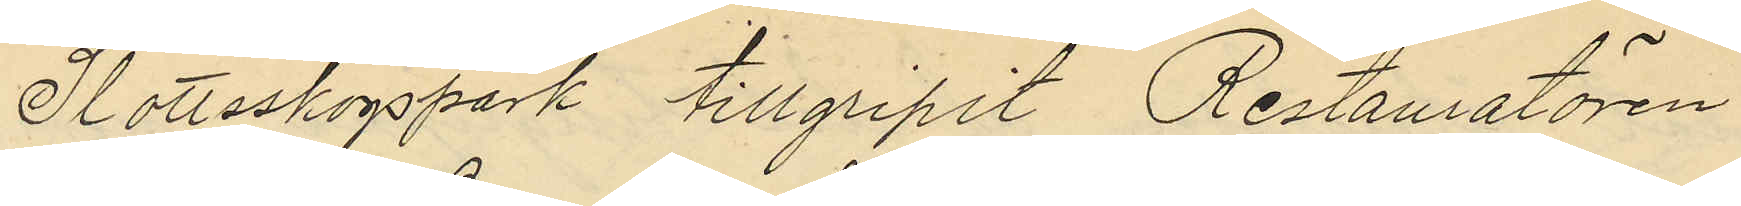Slottsskogspark tillgripit Restauratören
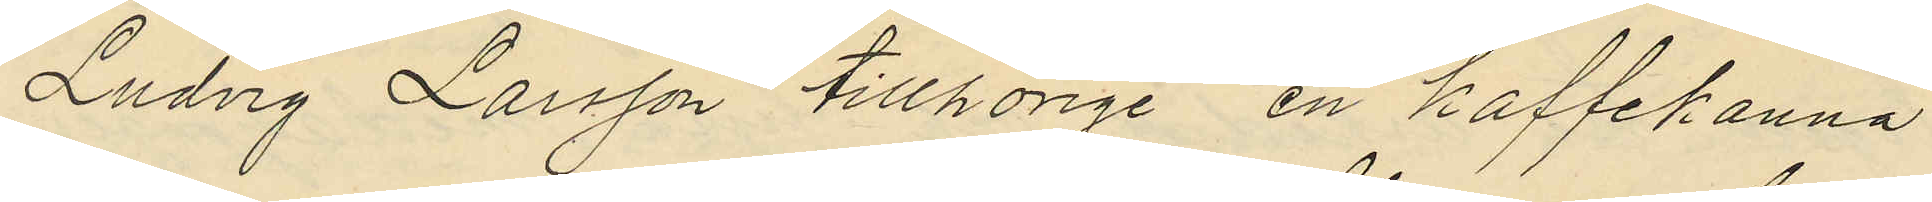Ludvig Larsson tillhörige en kaffekanna
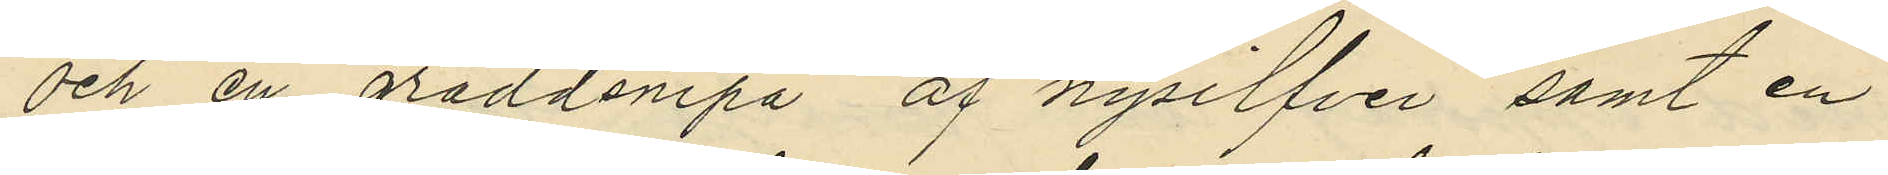och en gräddsnipa af nysilfver samt en
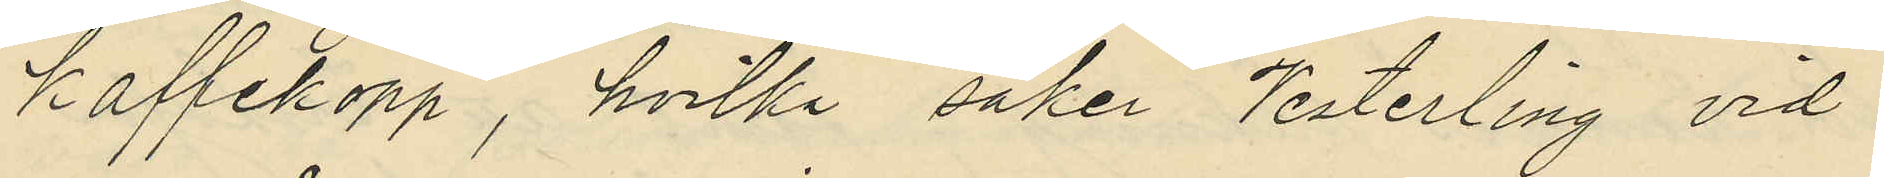kaffekopp, hvilka saker Vesterling vid
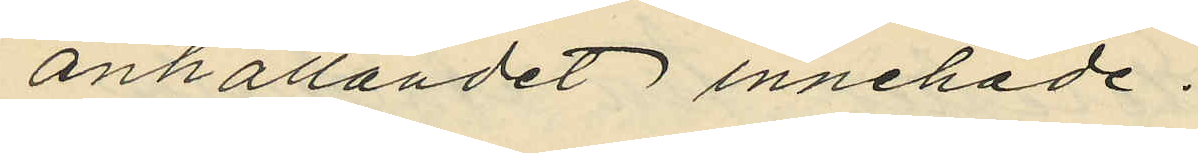anhållandet innehade.
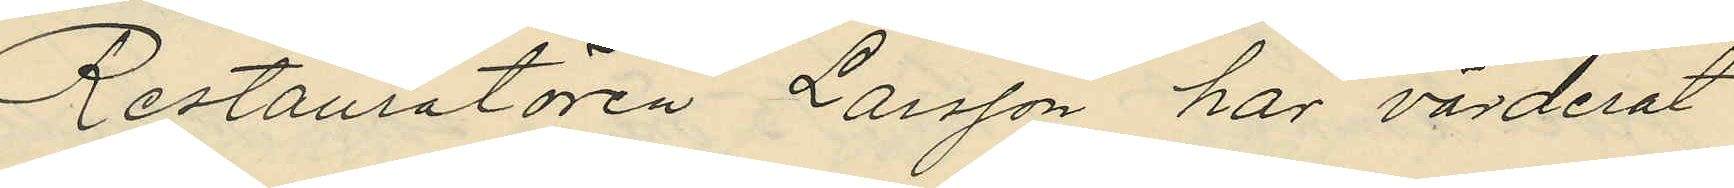Restauratören Larsson har värderat
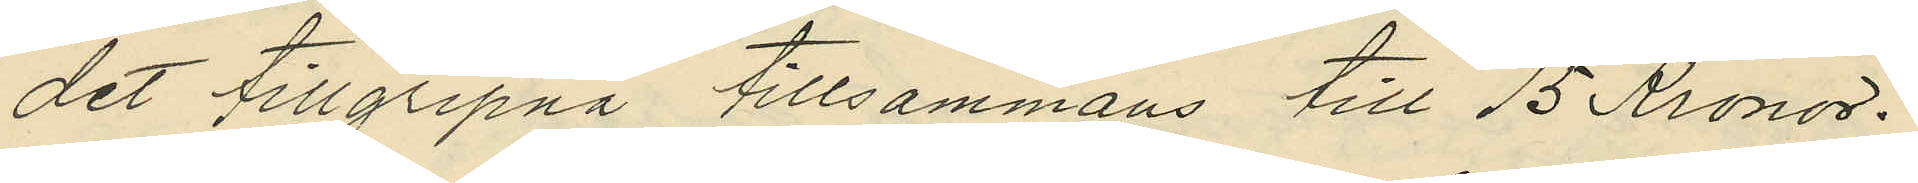det tillgripna tillsammans till 15 Kronor.
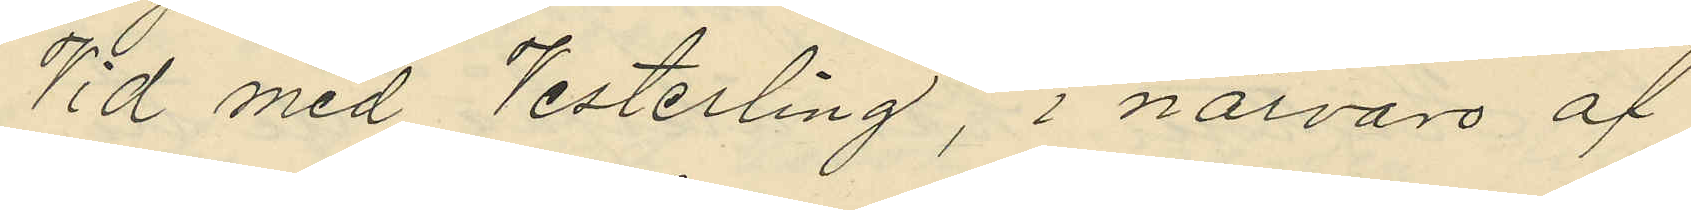Vid med Vesterling, i närvaro af
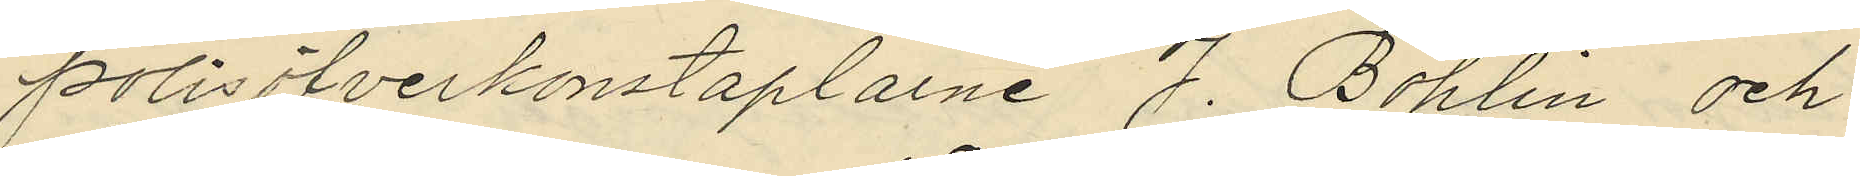polisöfverkonstaplarne J. Bohlin och
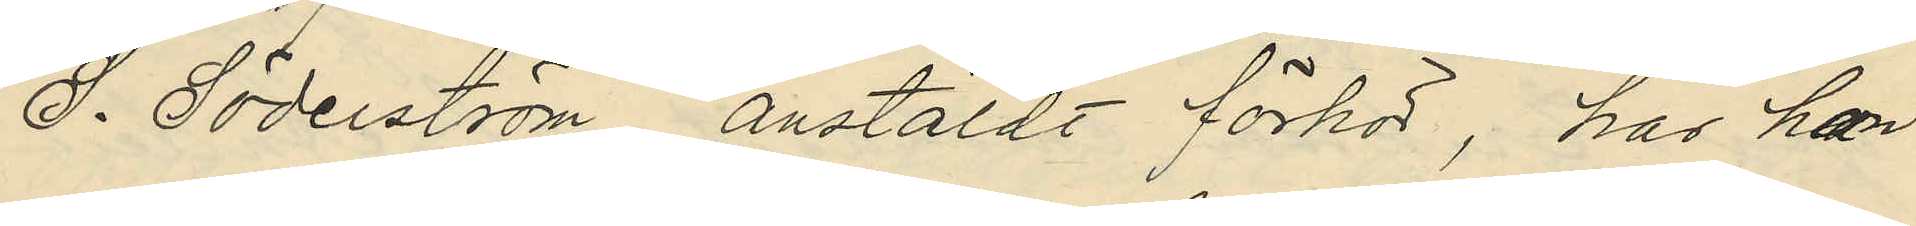S. Söderström, anstäldt förhör, har han
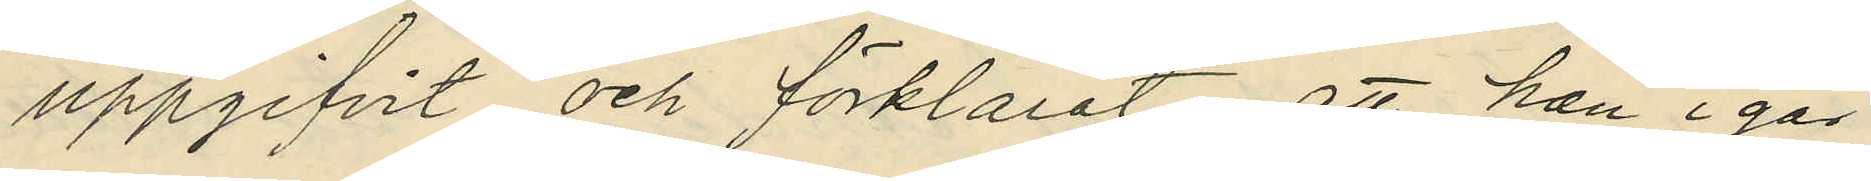uppgifvit och förklarat, att han i går
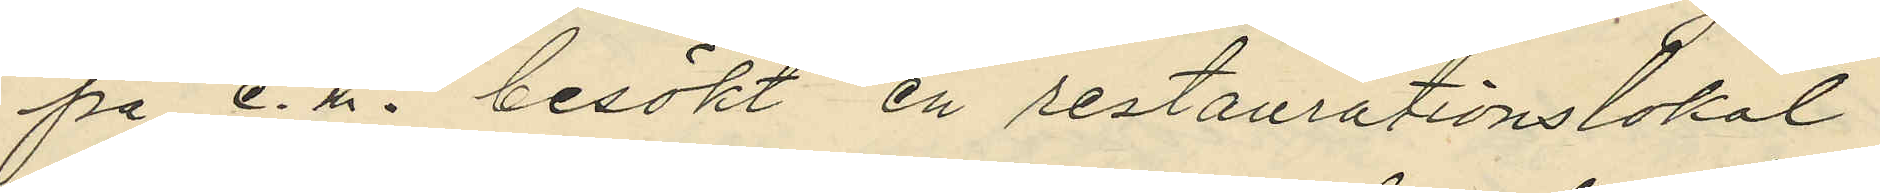på e.m. besökt en restaurationslokal
